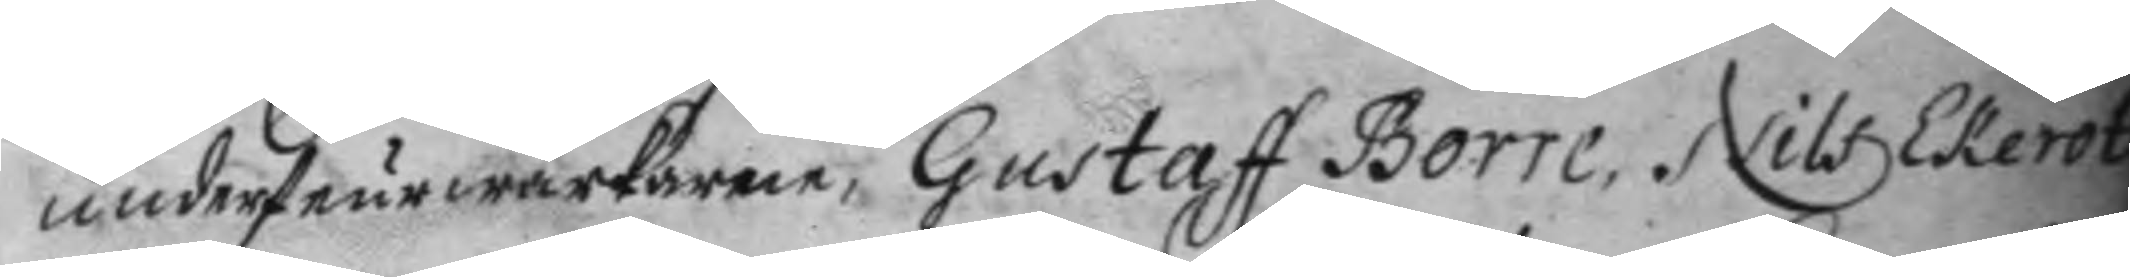underfeurwerkaren Gustaff Borre, Nils Ekerot,
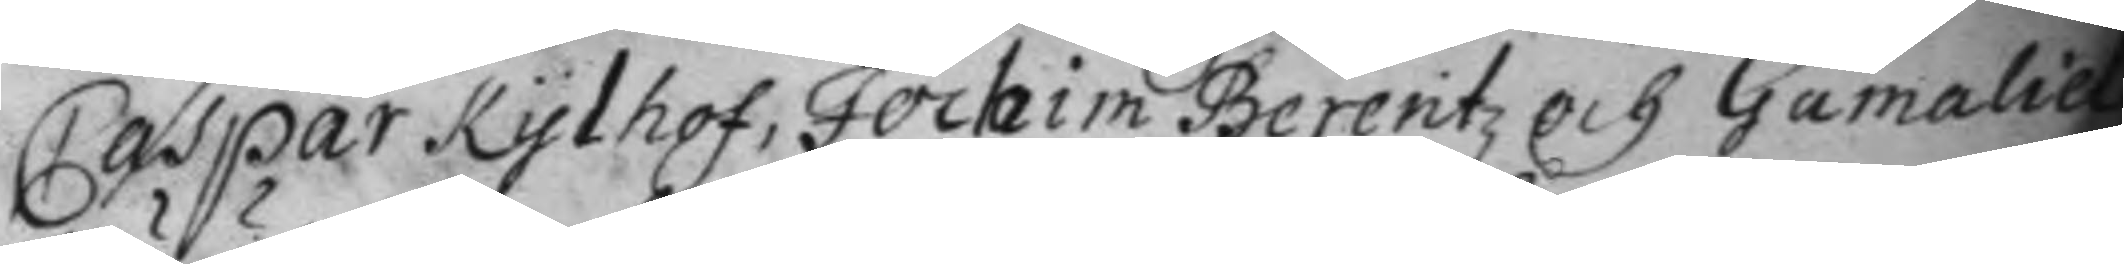Caspar Kylhof, Jochim Berentz och Gamaliel
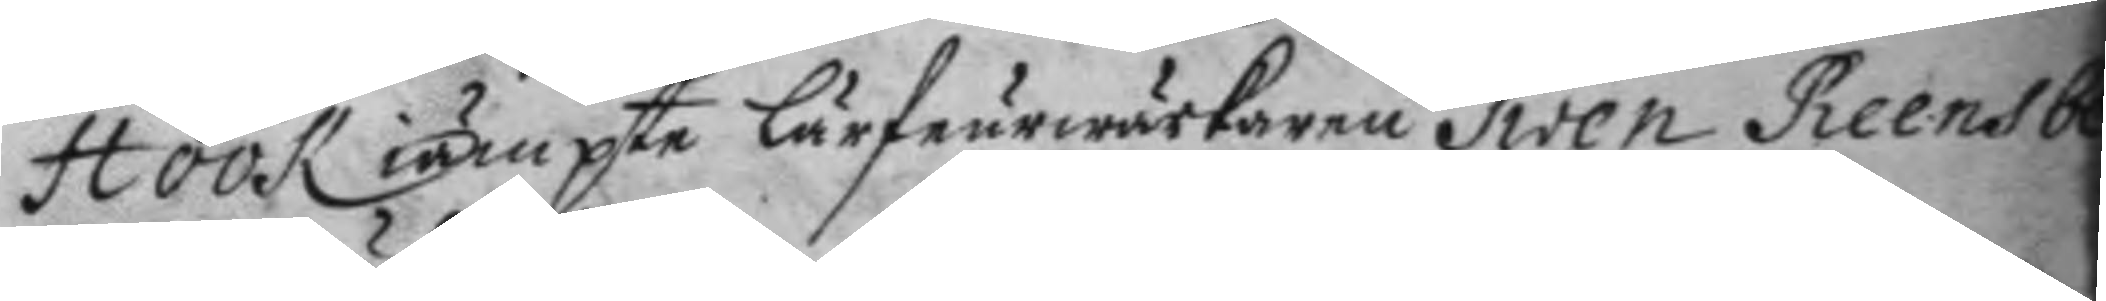Höök iämpte lärfeurwerkaren Swen Reensberg
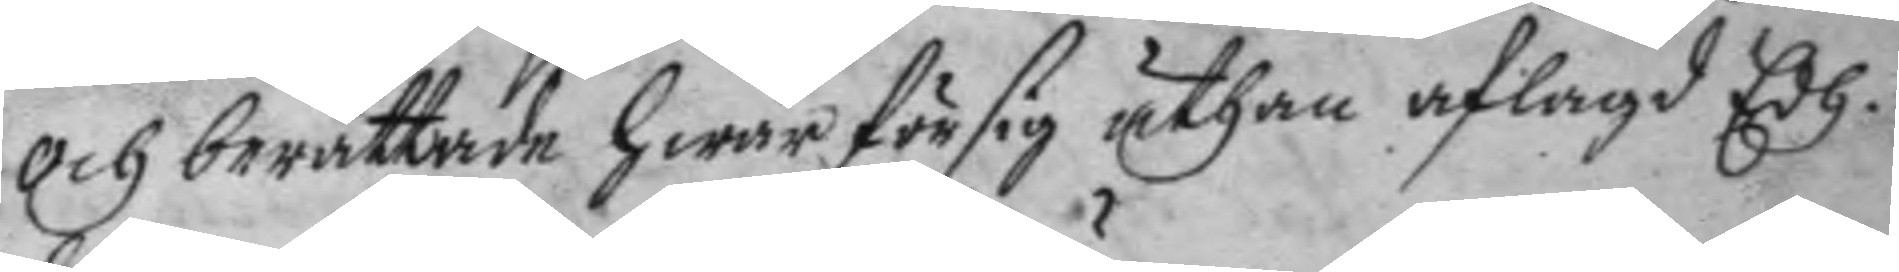och berättade hwar för sig uthan aflagd Edh.
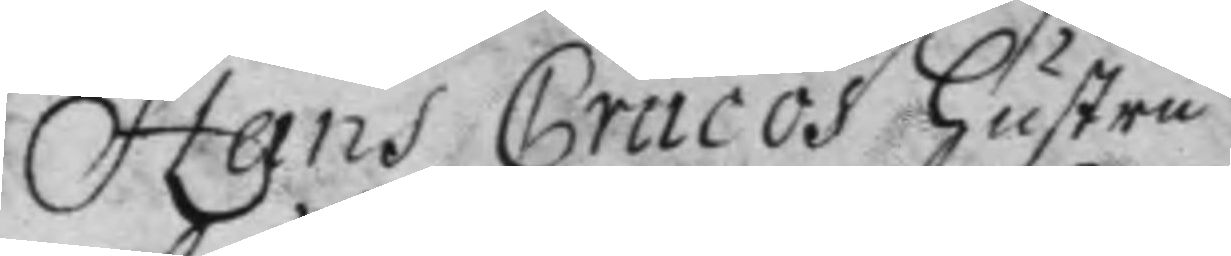Hans Cracos hustru
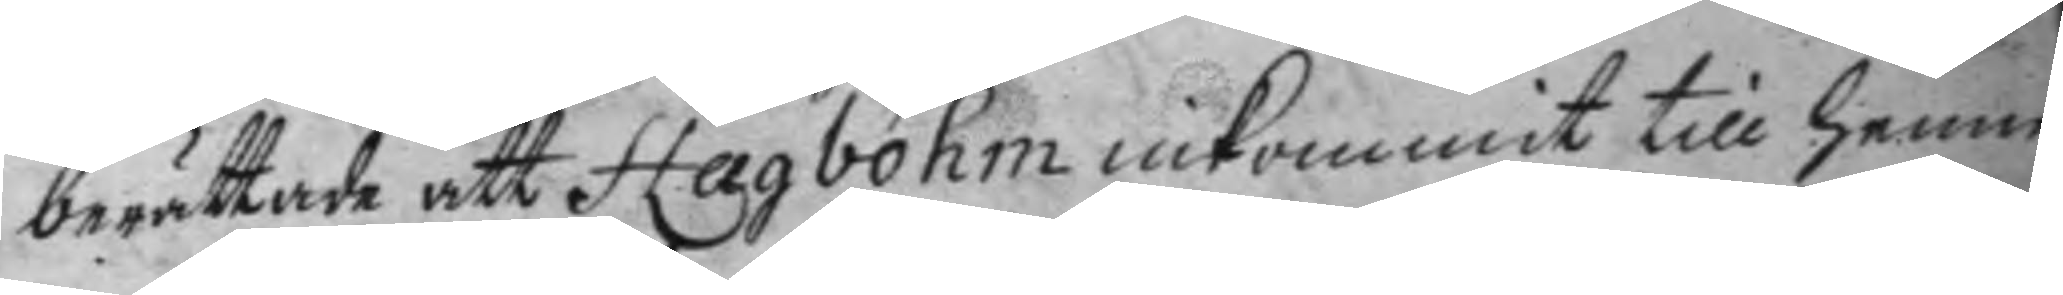berättade att Hagbohm inkommit till henne
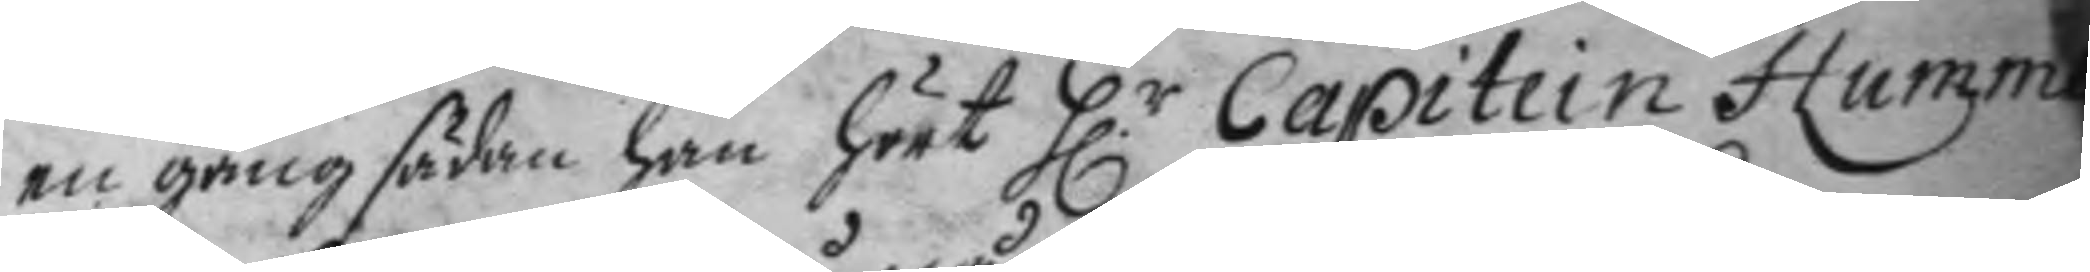en gång sädan han hört H.r Capitein Hummer
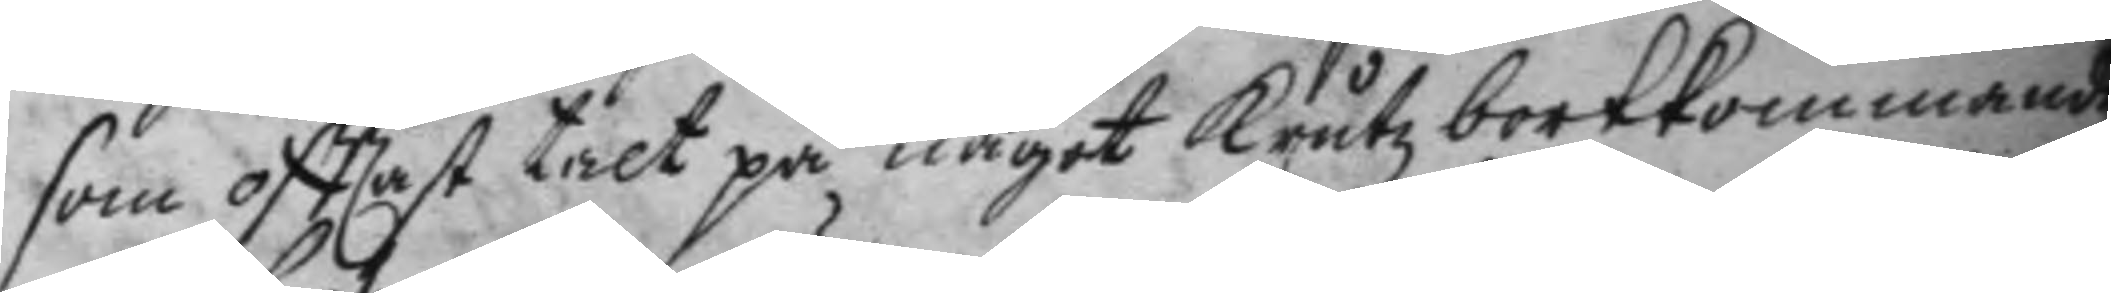som oftast talt på något kruuts bortkommande
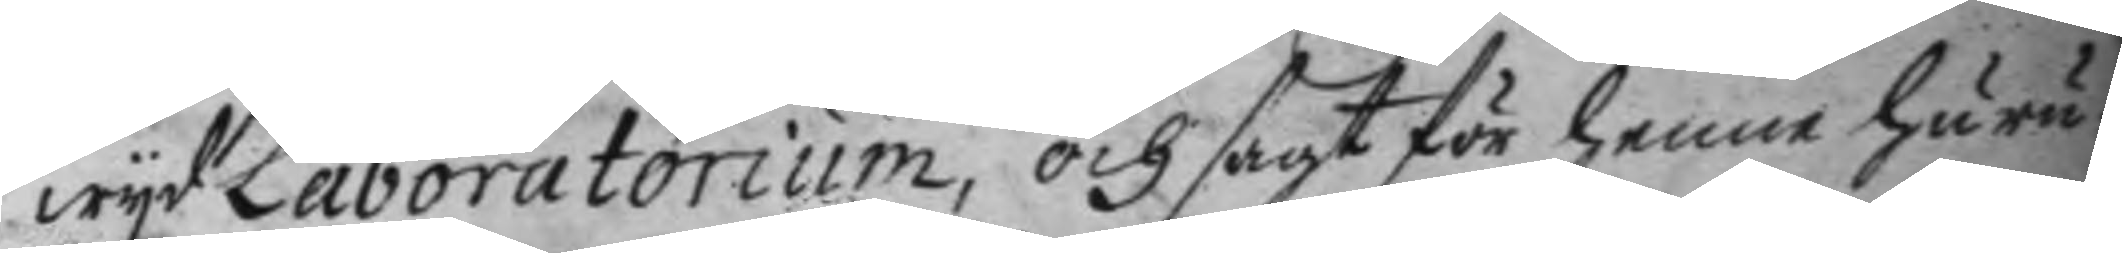wyd Laboratorium, och sagt för henne huru¬
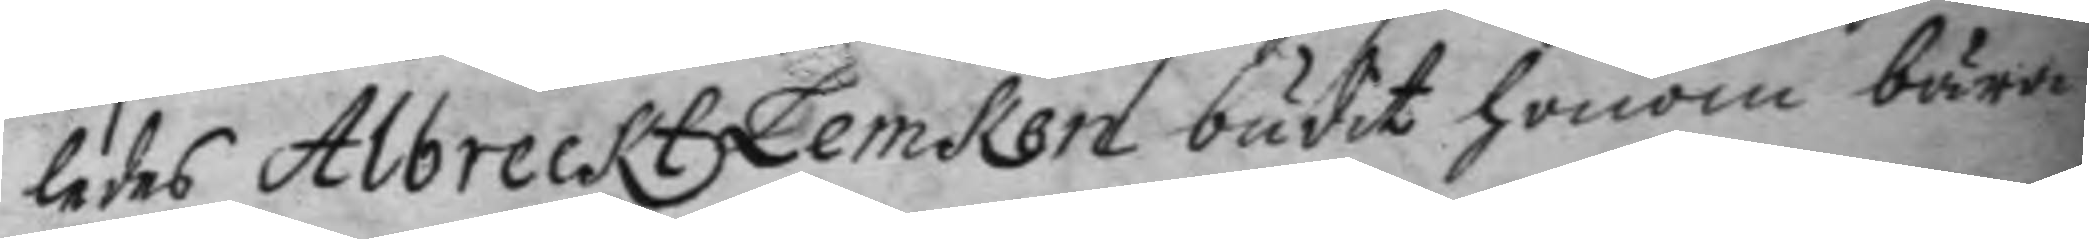ledes Albreckt Lemken budit honom bära
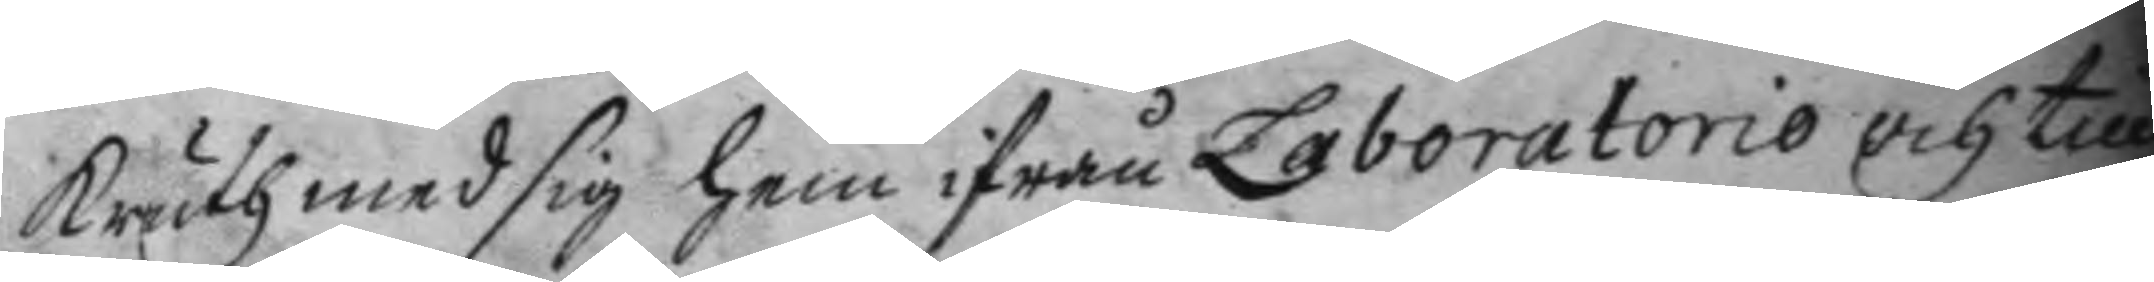kruth med sig hem ifrån Laboratorio och till
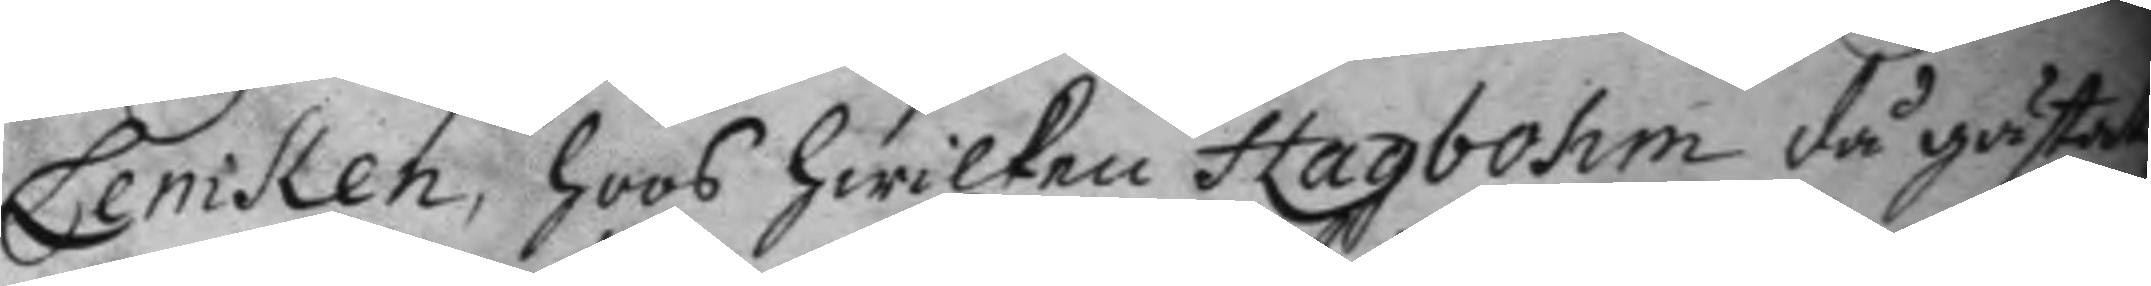Lemken, hoos hwilken Hagbohm då gästat,
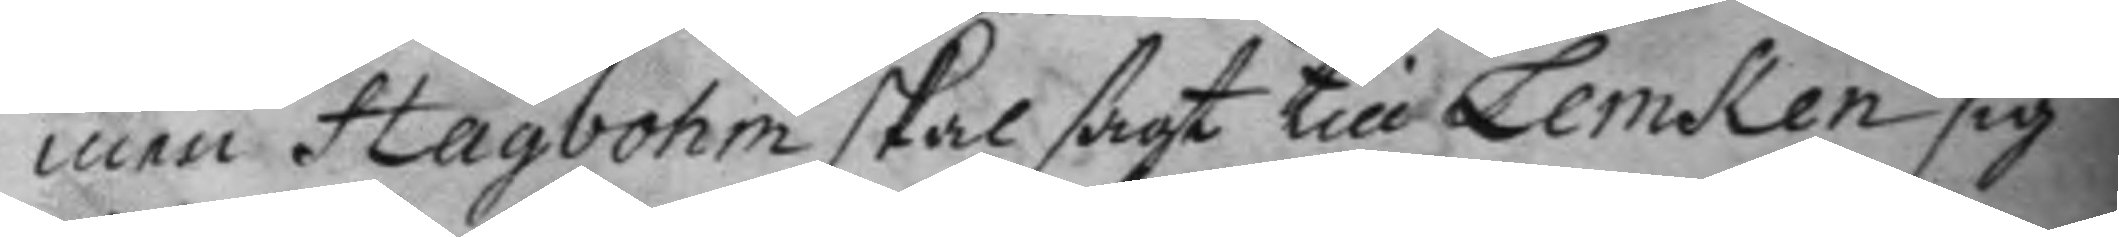men Hagbohm skal sagt till Lemken sig
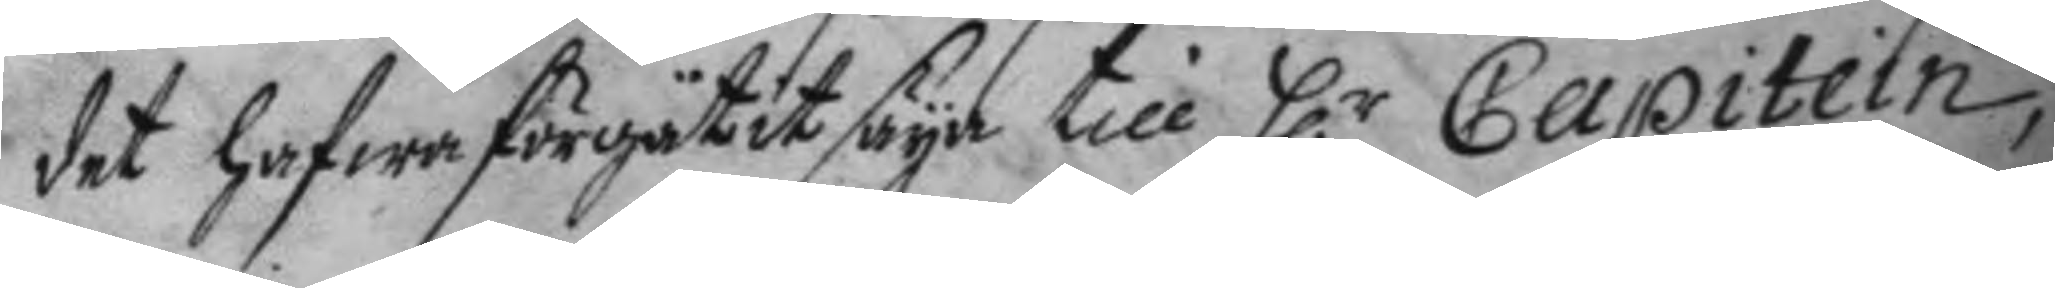det hafwa förgätit säya till H.r Capitein,
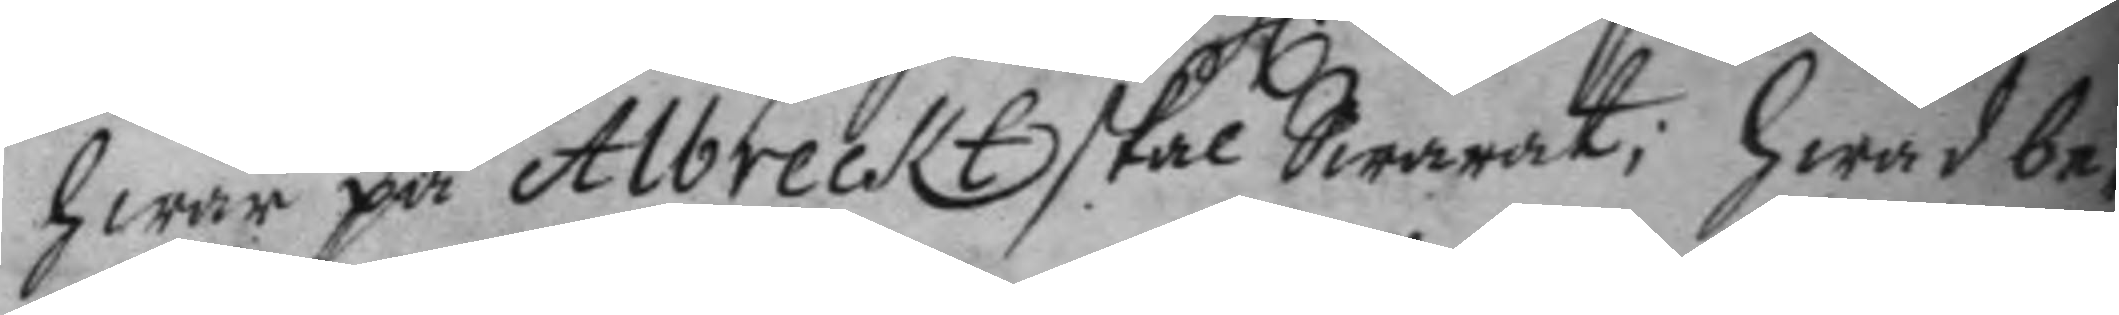hwar på Albreckt skal swarat; hwad be¬
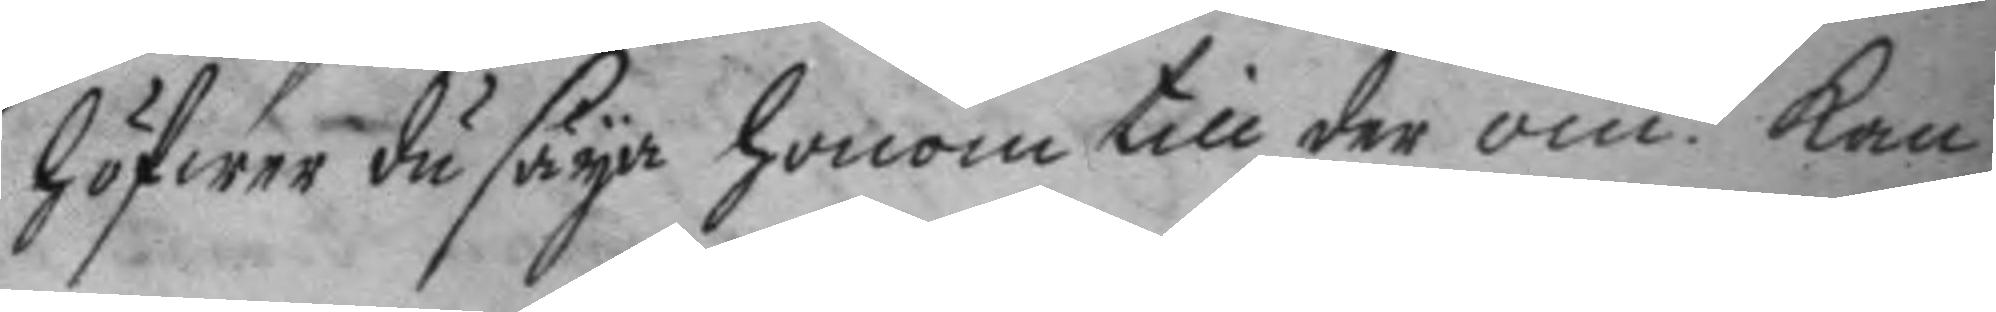höfwer du säya honom till der om? kan 
